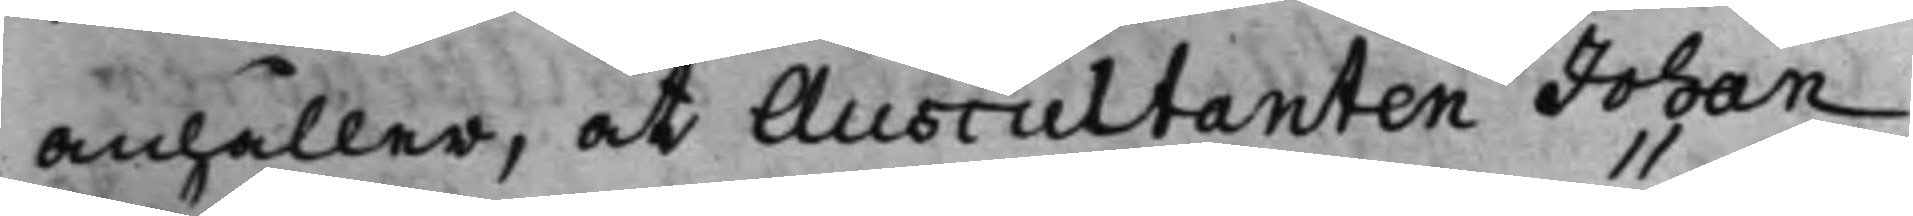anhåller, at Auscultanten Johan
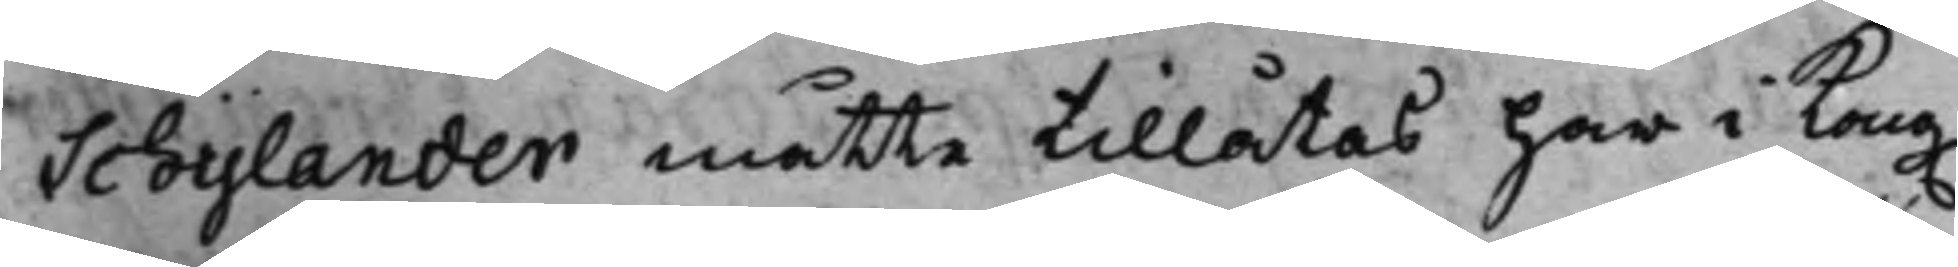Schylander måtte tillåtas här i Kong.
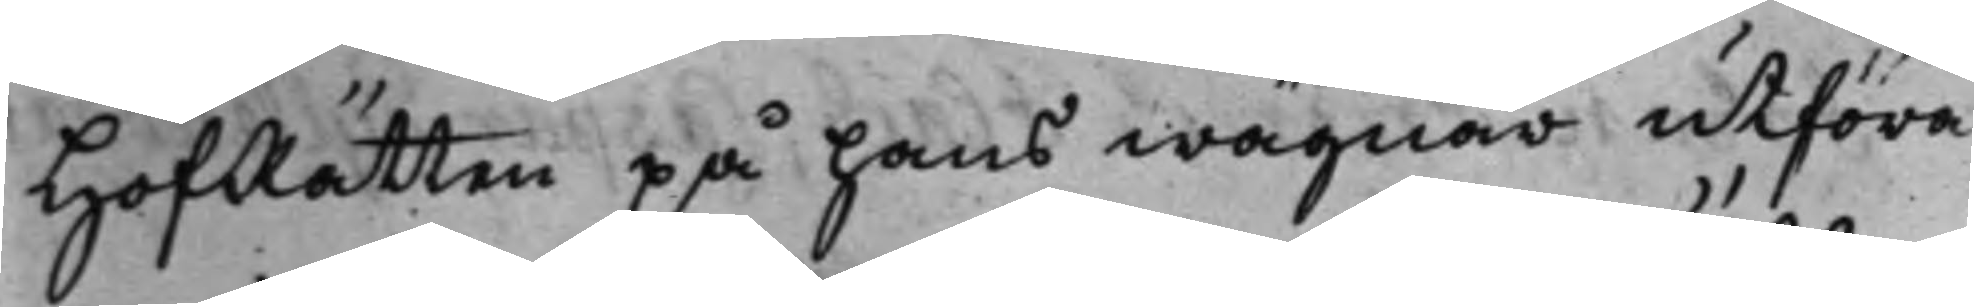HofRätten på hans wägnar utföra
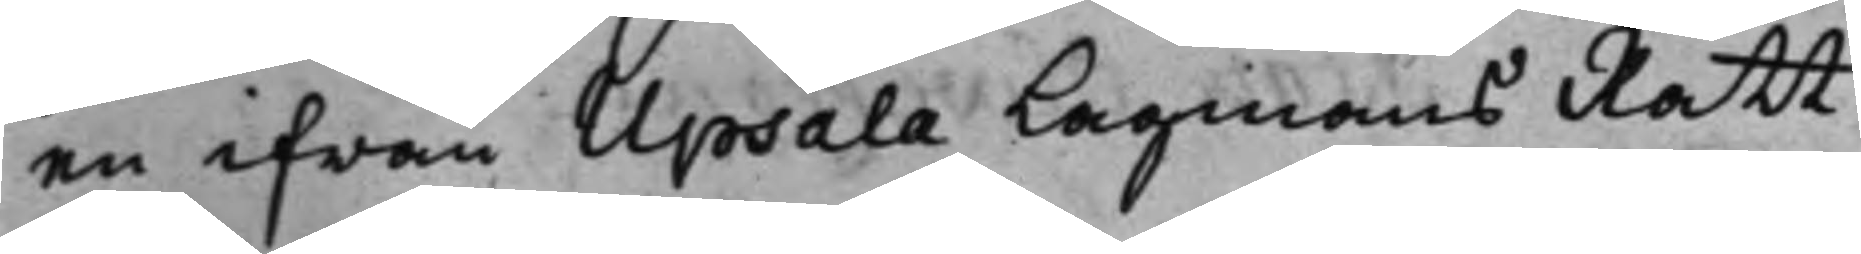en ifrån Upsala Lagmans Rätt
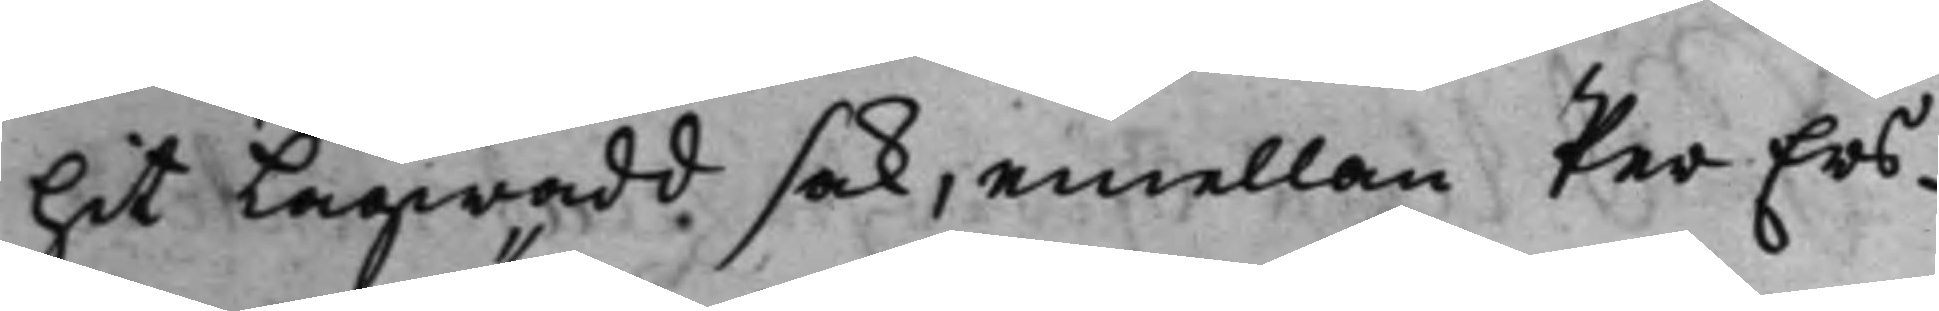hit Lagwadd, sak, emellan Per Ers¬
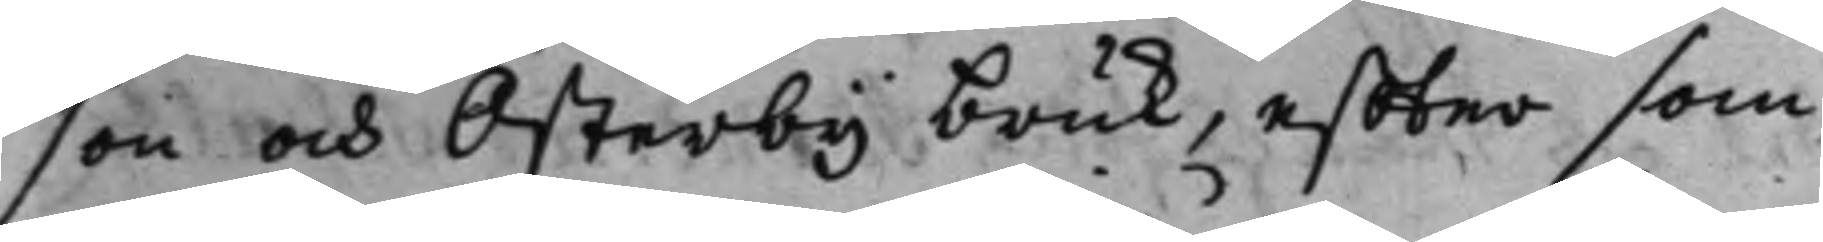son och Österby bruk, effter som
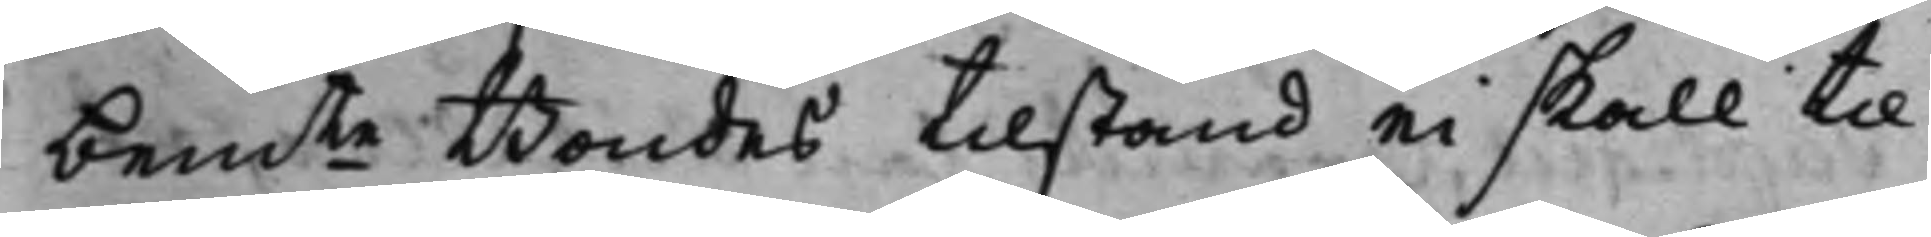bemte Bondes tillstånd ei skall til¬
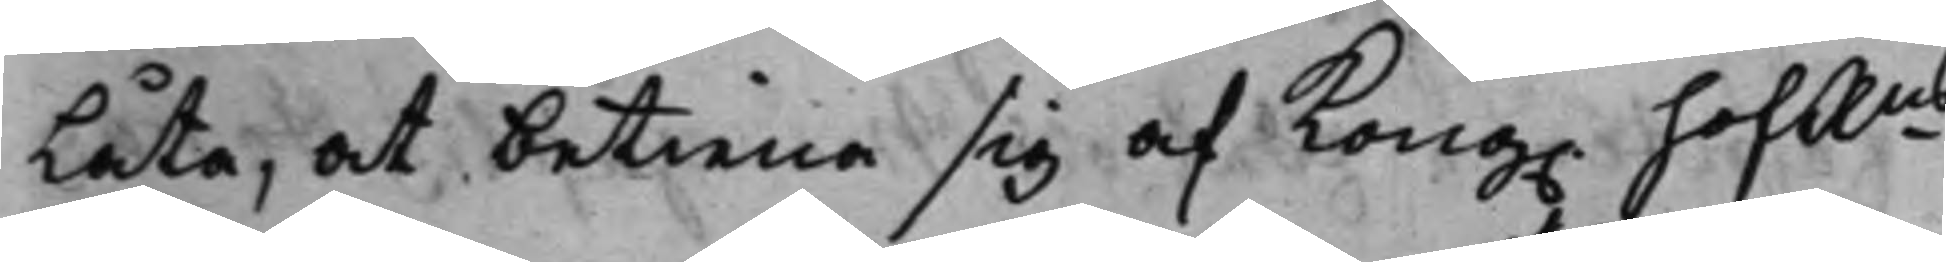låta, at betiena sig af Kong. HofRns
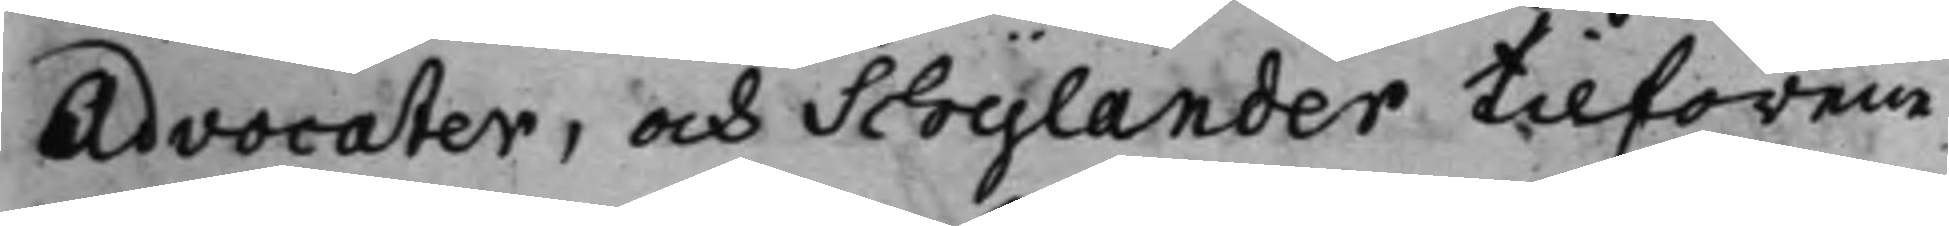Advocater, och Schylander tillförene
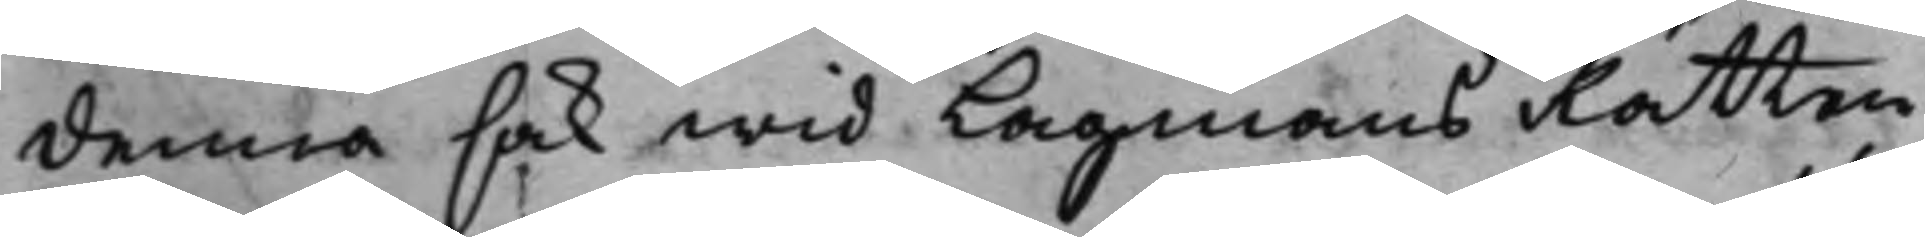denna sak wid Lagmans Rätten
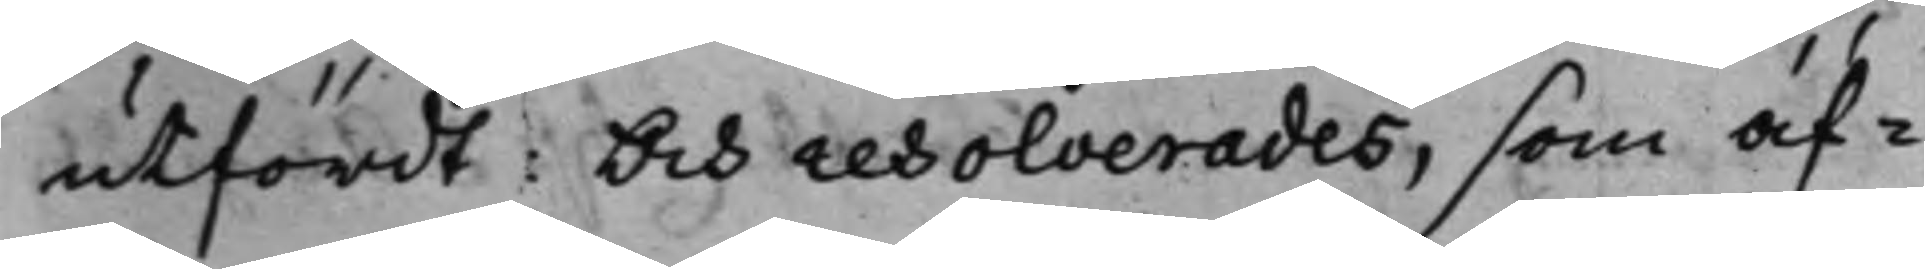utfördt; Och resolverades, som äf¬
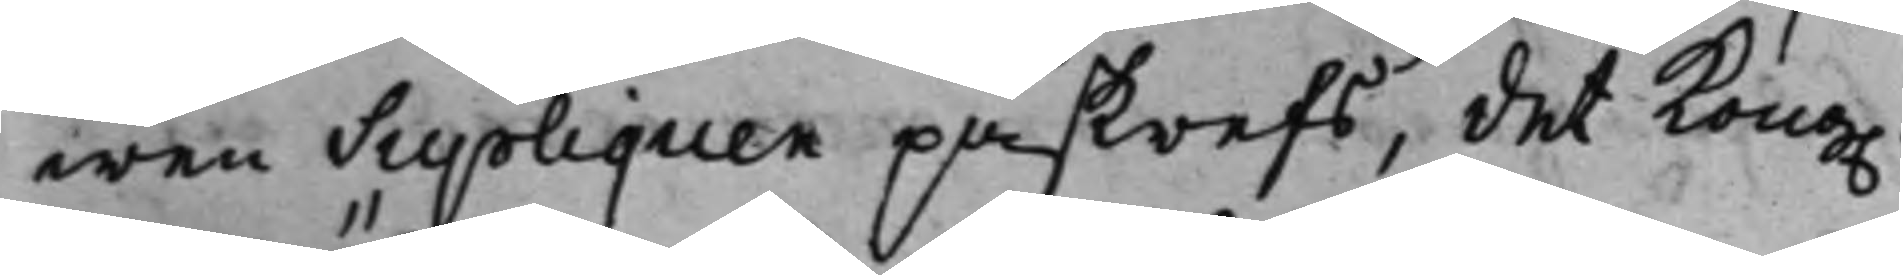wen Supliquen påskrefs, det Kong.
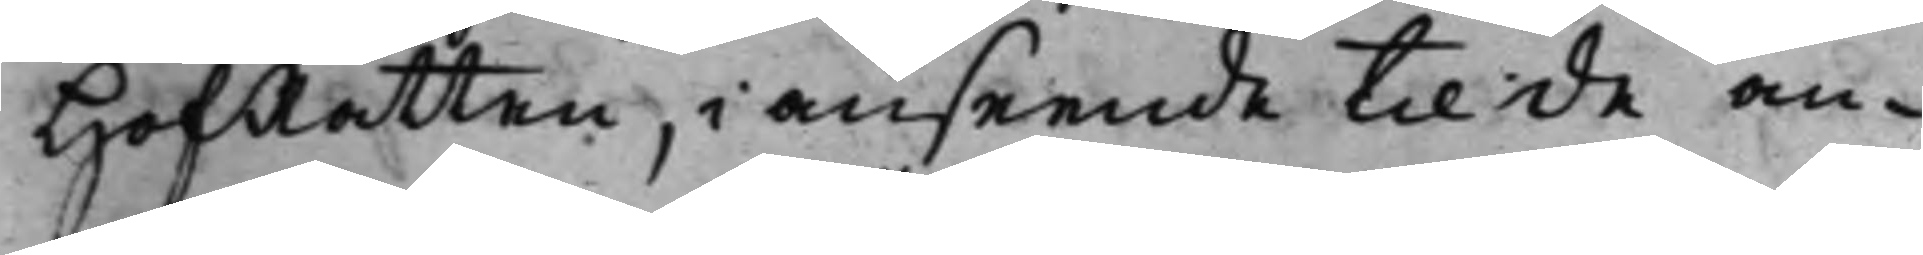HofRätten, i anseende til de an¬
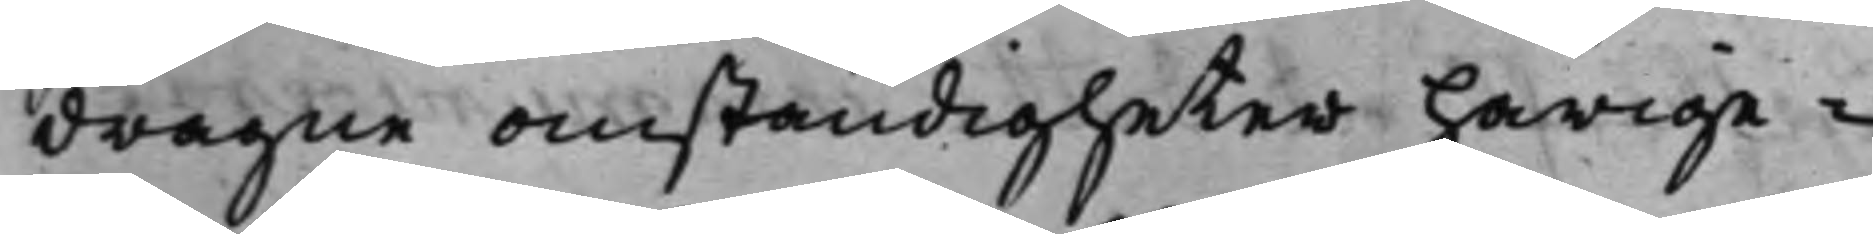dragne omständigheter härige¬
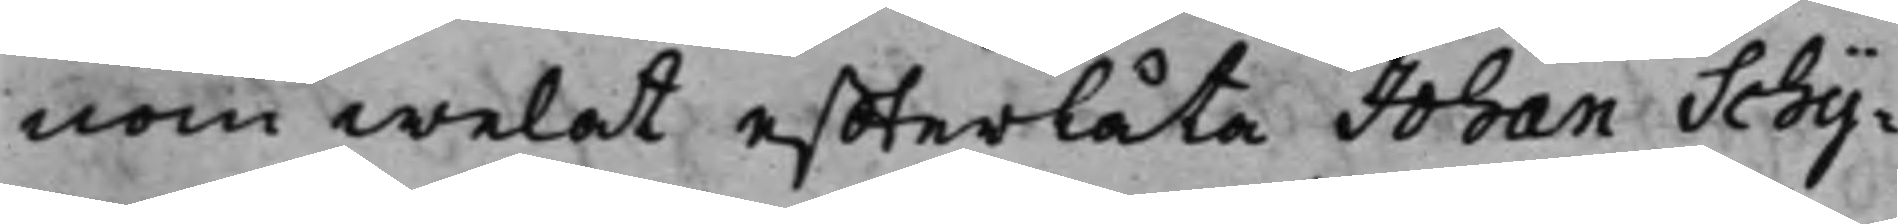nom welat effterlåta Johan Schy¬
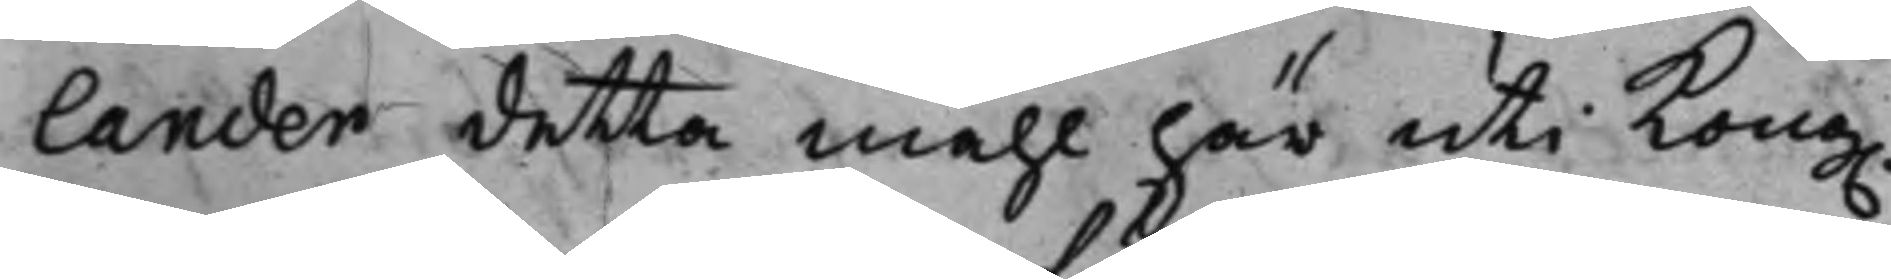lander detta måhl här uti Kong.
